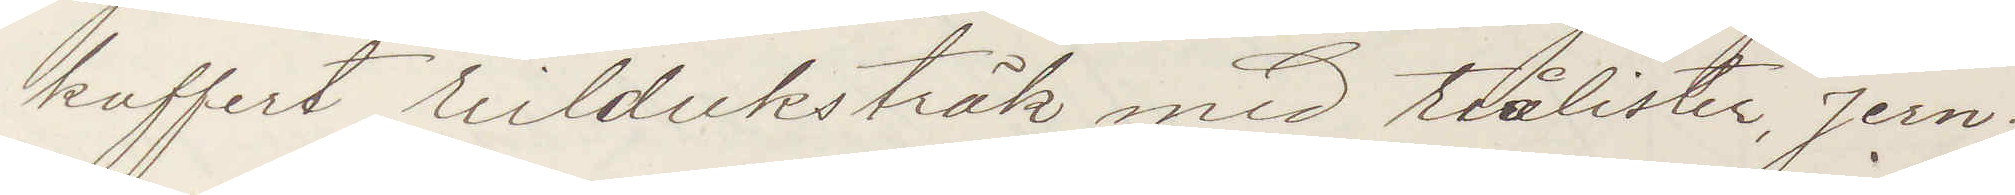kuffert seilduksträk mid stålister Jern¬
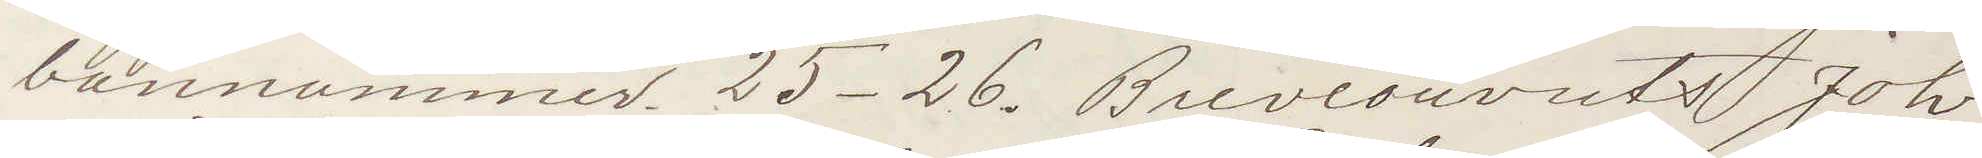bannummer 25-26. Brevcouverts Joh
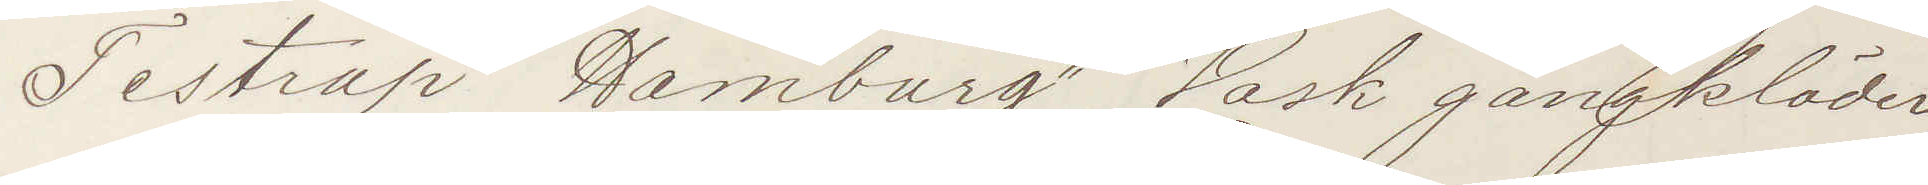Testrap Hamburg Vask gangklader
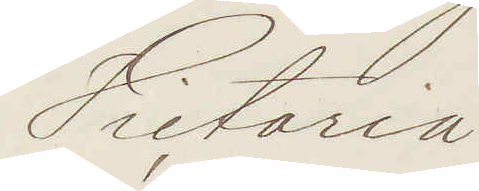Victoria
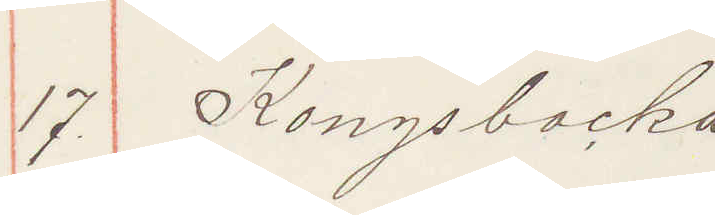17 Kongsbacka
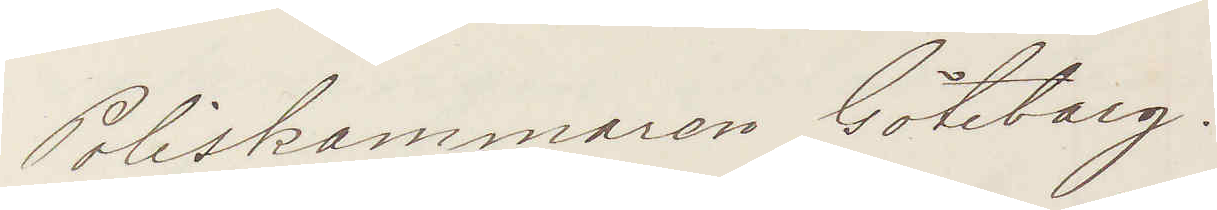Poliskammaren Göteborg.
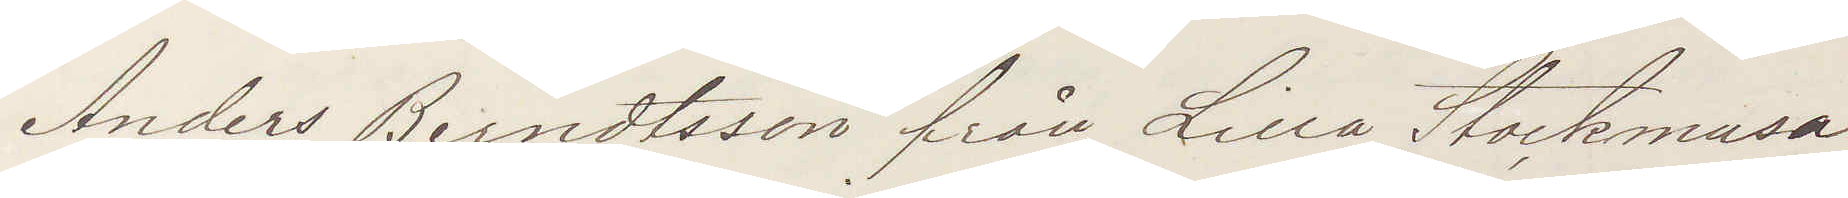Anders Berndtsson från Lilla Stockmasa¬
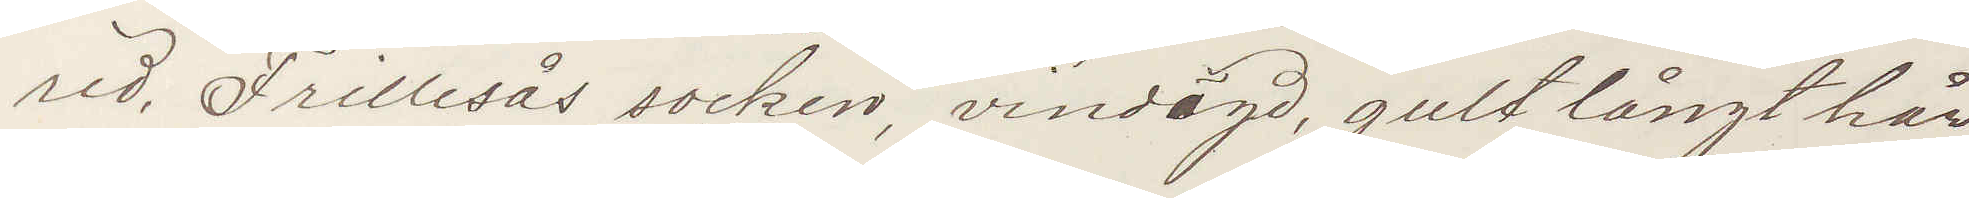red, Frillesås socken, vindögd, gult långt hår,
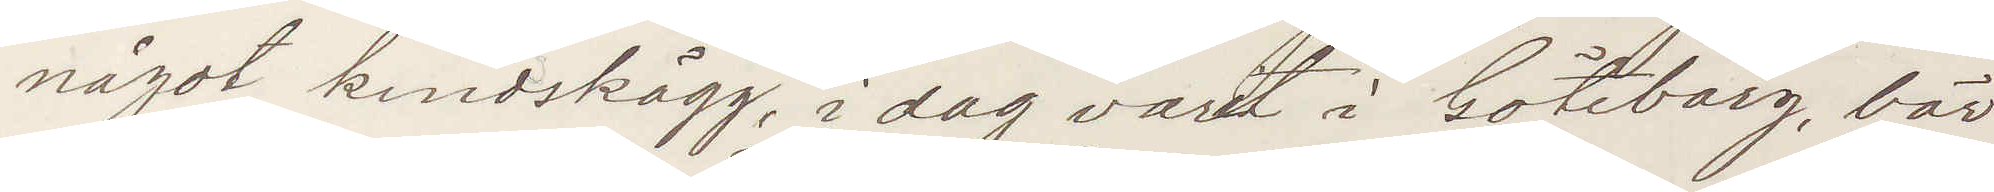något kindskägg, idag varit i Göteborg, bör
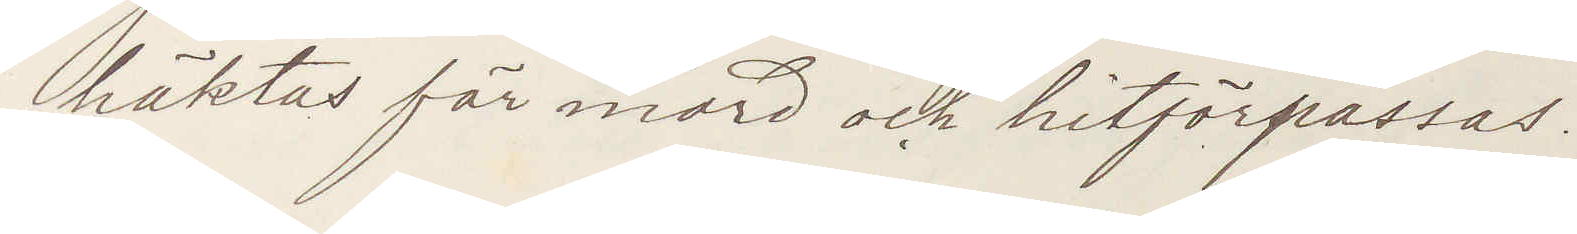häktas för mord och hitförpassas.
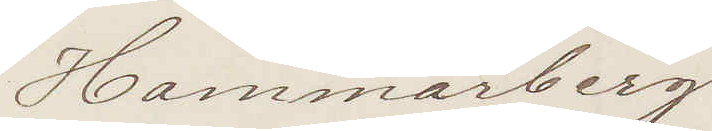Hammarberg
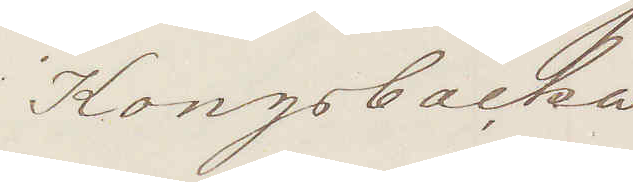Kongsbacka
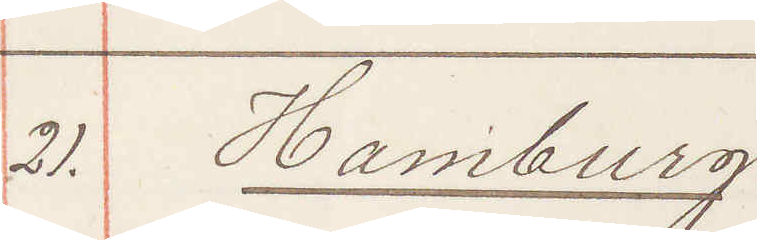21. Hamburg
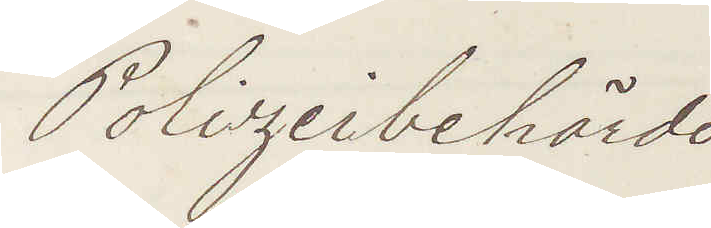Polizeibehörde
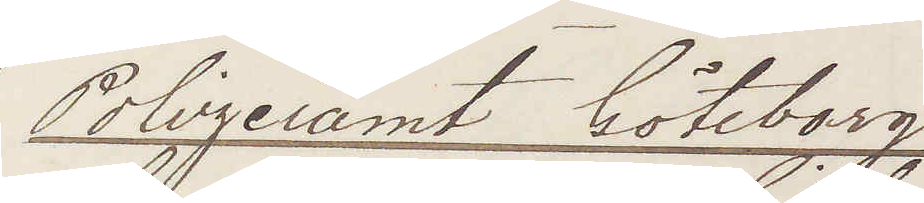Polizeiamt Göteborg
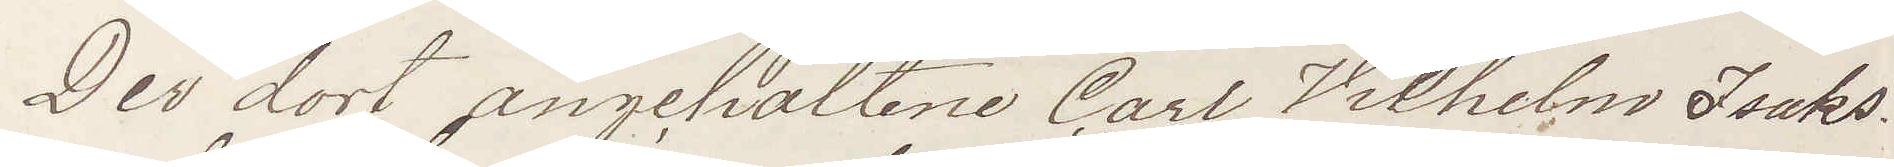Der dort angehaltene Carl Vilhelm Isaks¬
